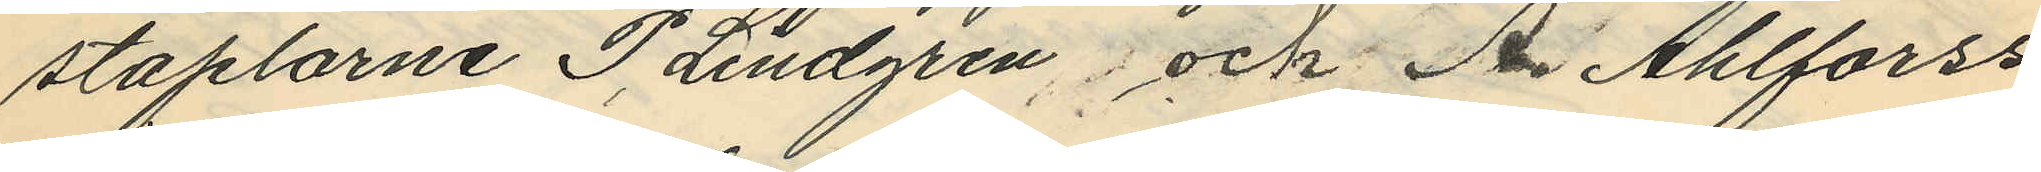staplarne P. Lindgren och B. Ahlforss
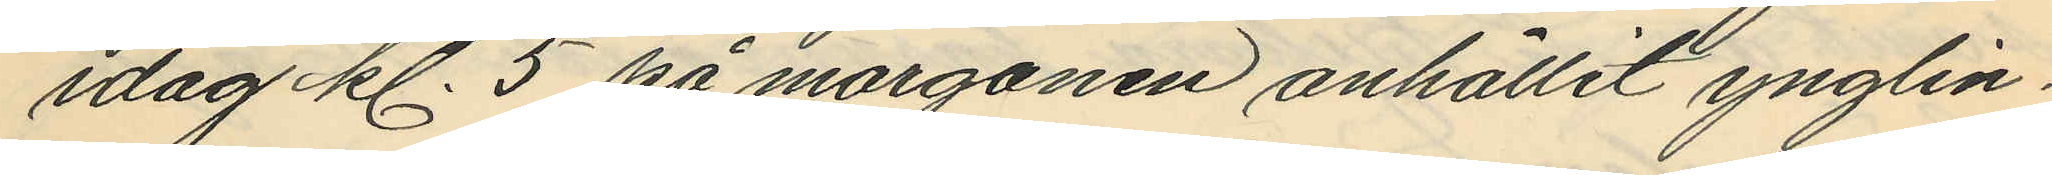idag kl. 5 på morgonen anhållit ynglin¬
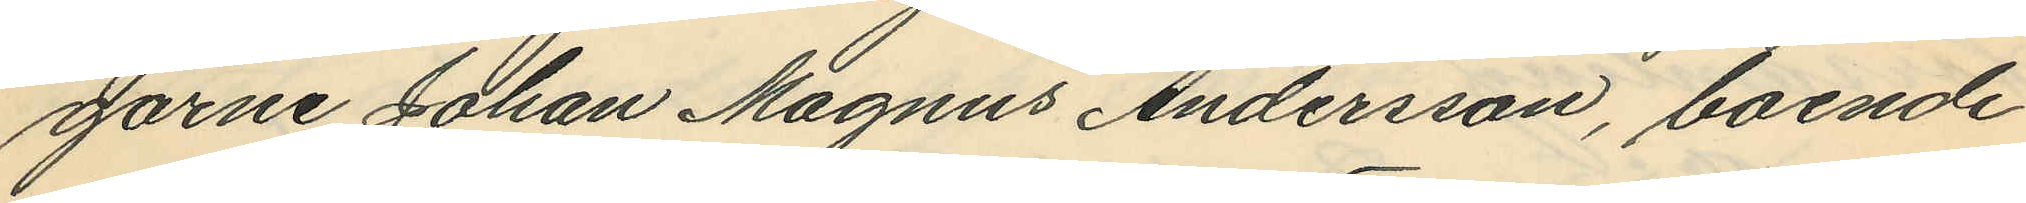garne Johan Magnus Andersson, boende
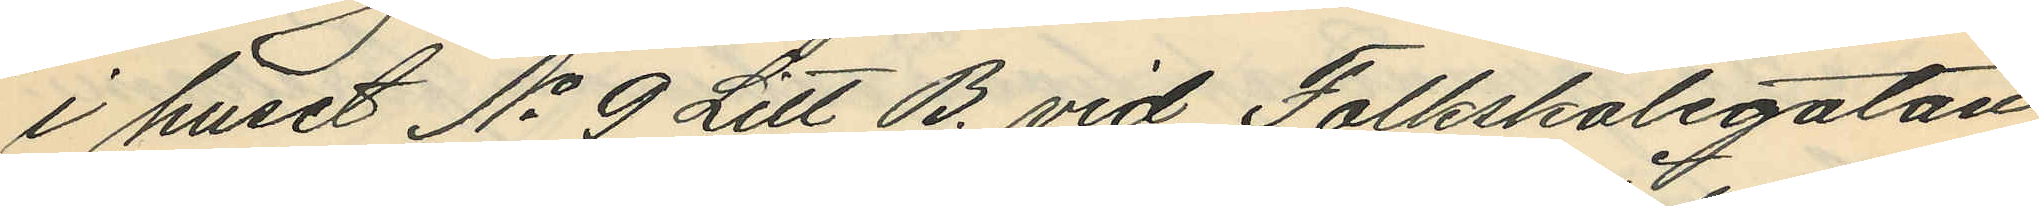i huset No 9 Litt B. vid Folkskolegatan
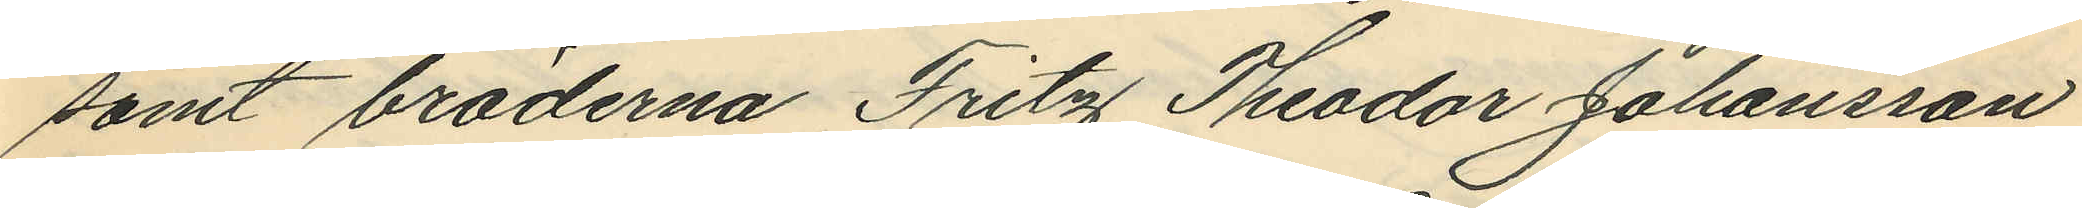samt bröderna Fritz Theodor Johansson
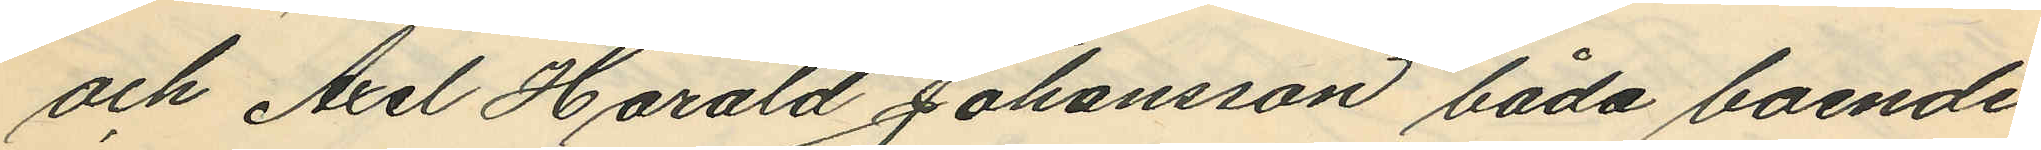och Axel Harald Johansson båda boende
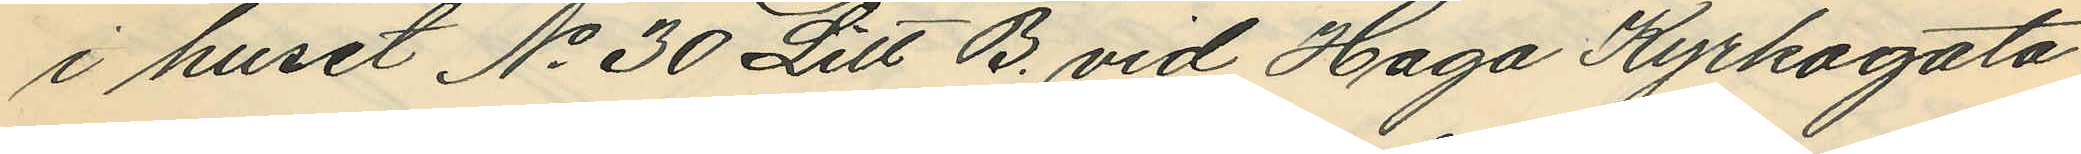i huset No 30 Litt B. vid Haga Kyrkogata
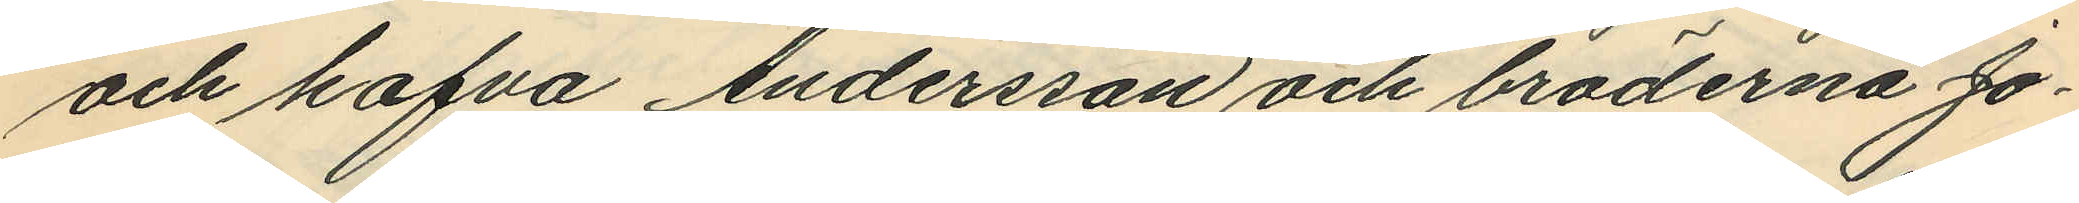och hafva Andersson och bröderna Jo¬
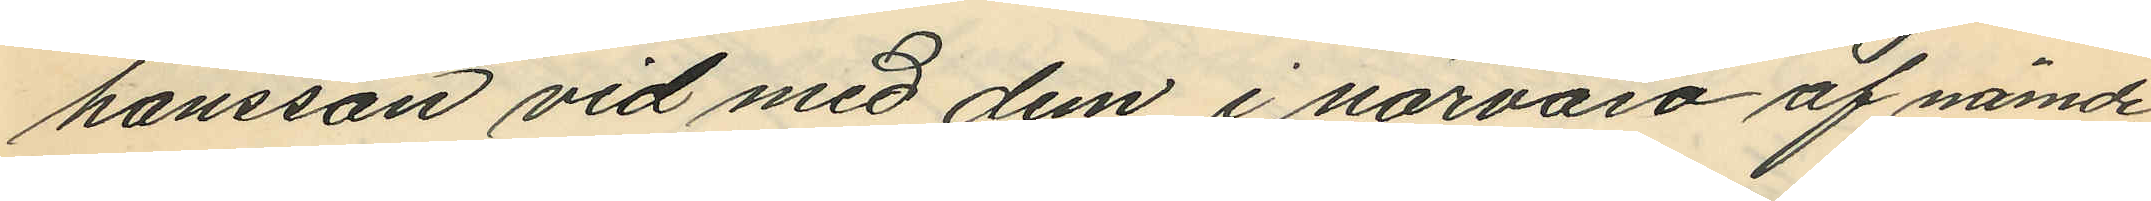hansson vid med dem i närvaro af nämde
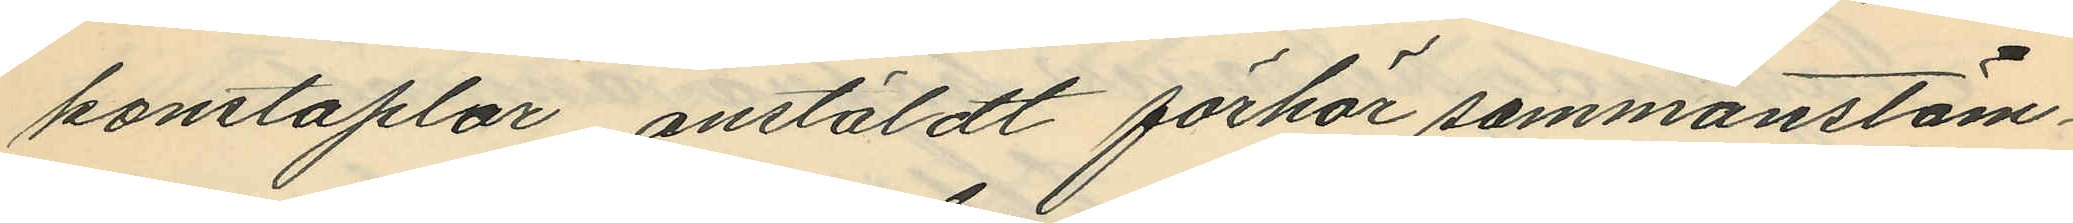konstaplar, anstäldt förhör sammanstäm¬
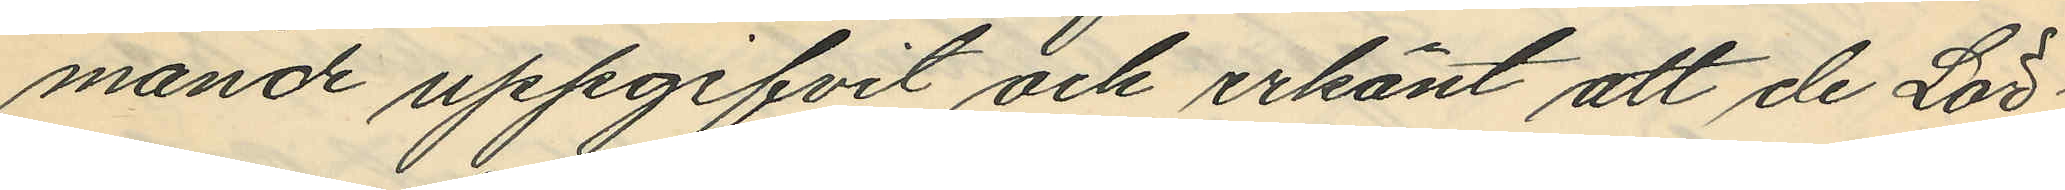mande uppgifvit och erkänt att de Lör¬
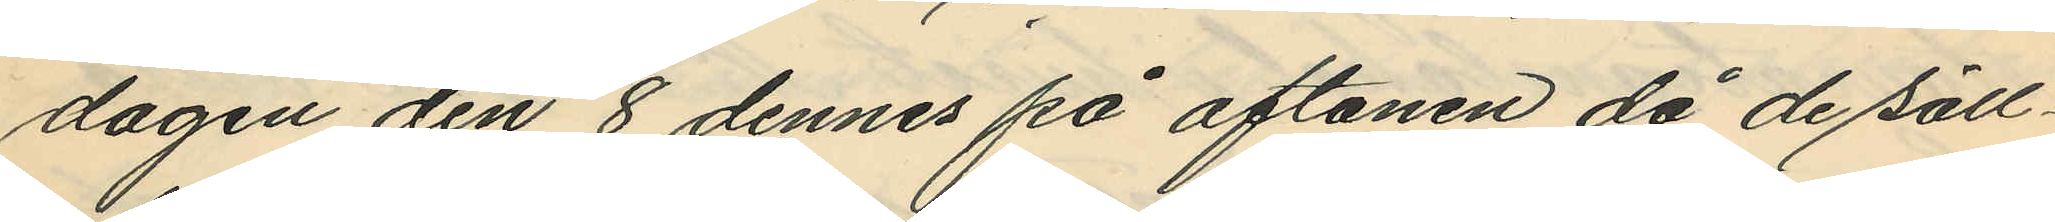dagen den 8 dennes på aftonen då de säll¬
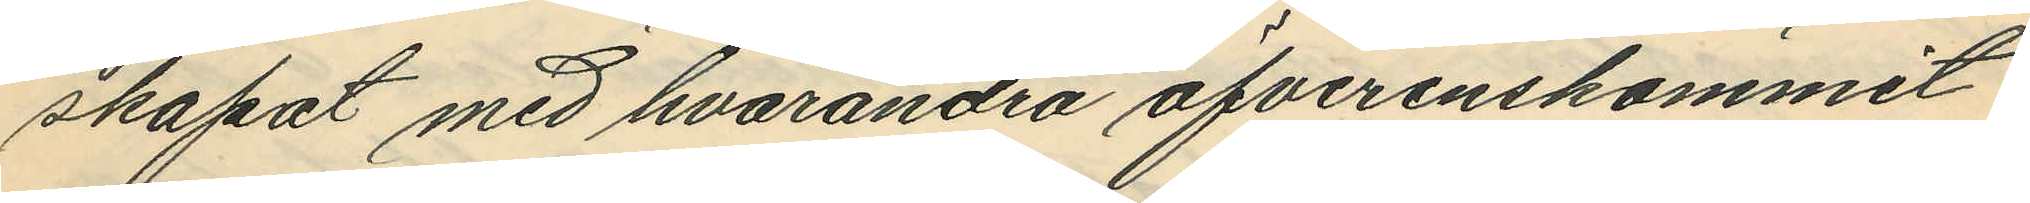skapat med hvarandra öfverenskommit
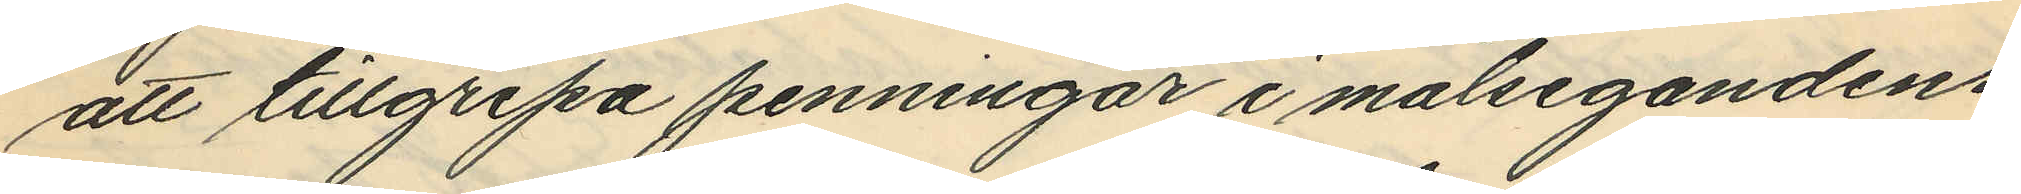att tillgripa penningar i målsegandens
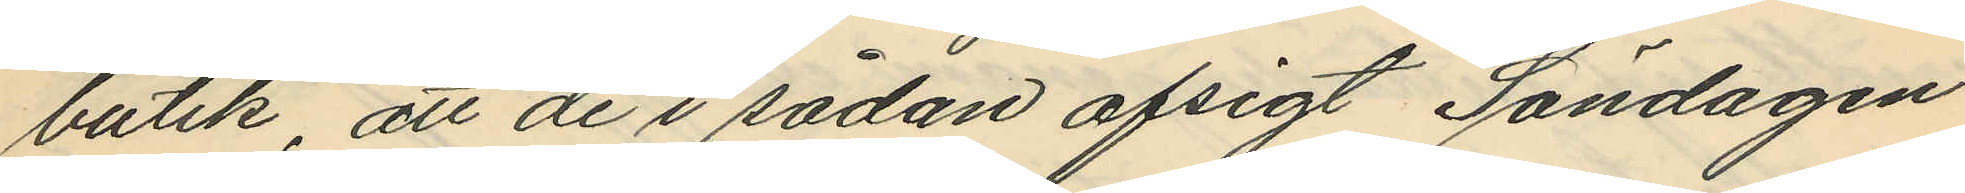butik, att de i sådan afsigt Söndagen
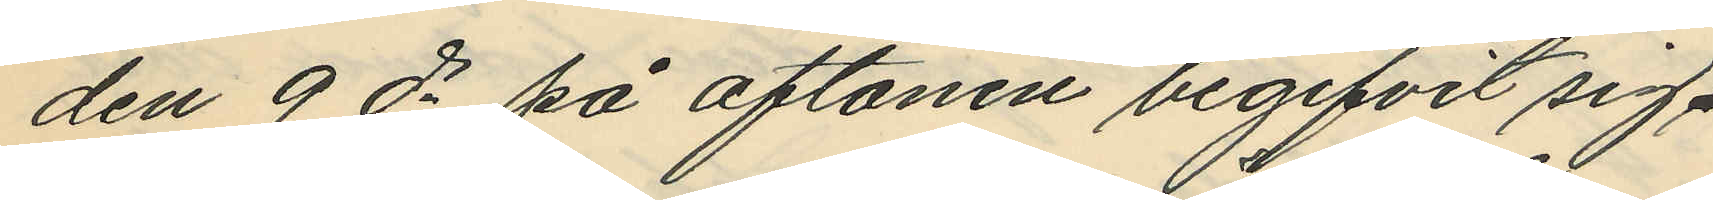den 9 ds på aftonen begifvit sig
